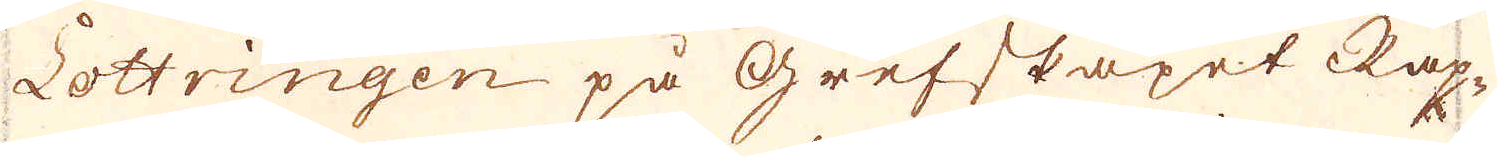Lottringen på Grefskapet Rap-
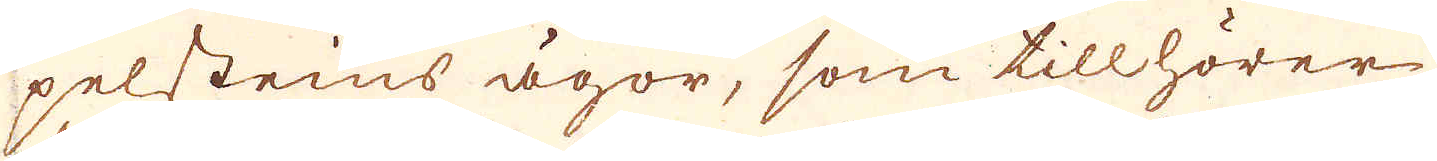pelsteins ägor, som tillhörer
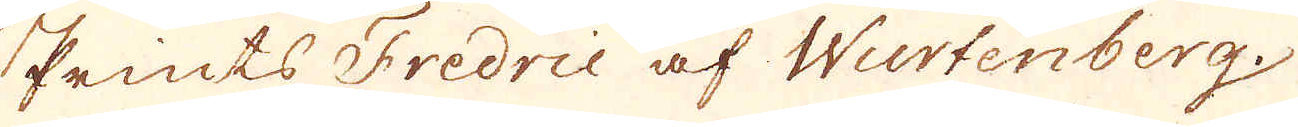Prints Fredric af Wurtenberg.
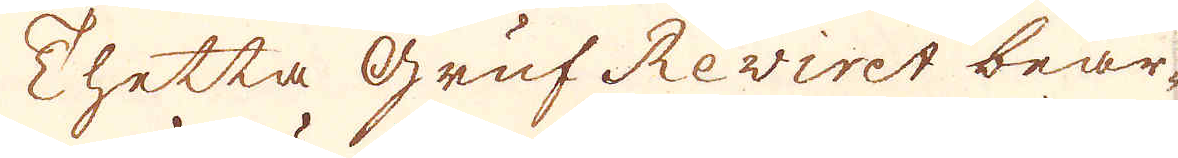Thetta Gruf Reviret bear-
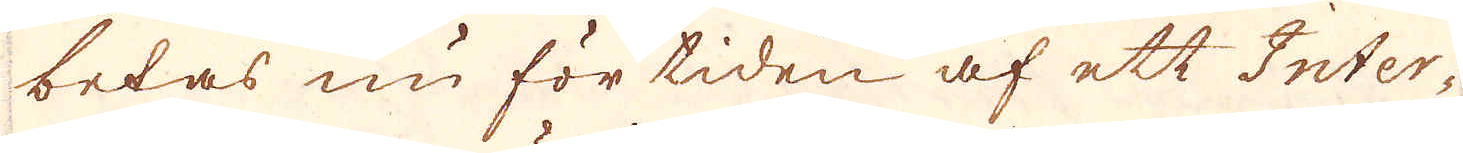betas nu för tiden af ett Inter-
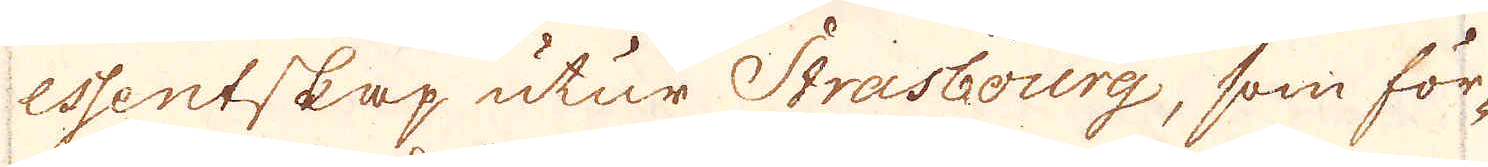essentskap utur Strasbourg, som för-
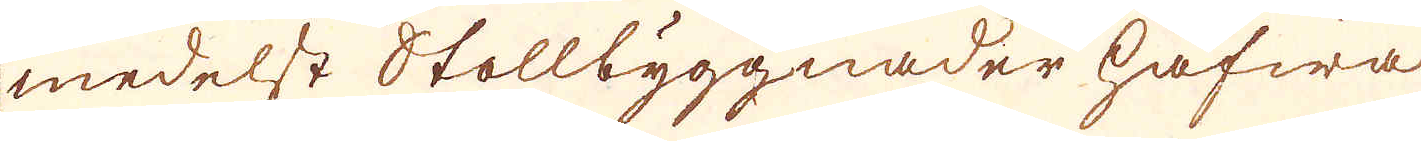medelst Stollbyggnader hafwa
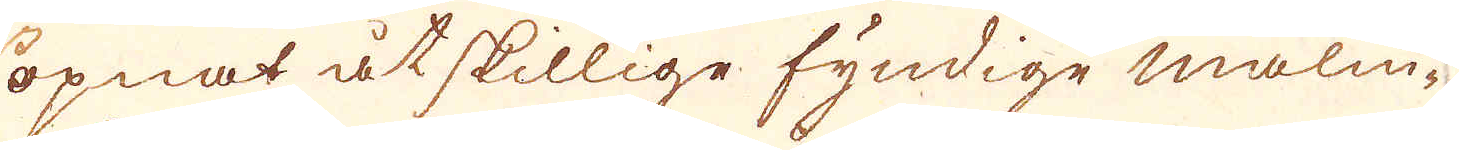öpnat åtskillige fyndige malm-
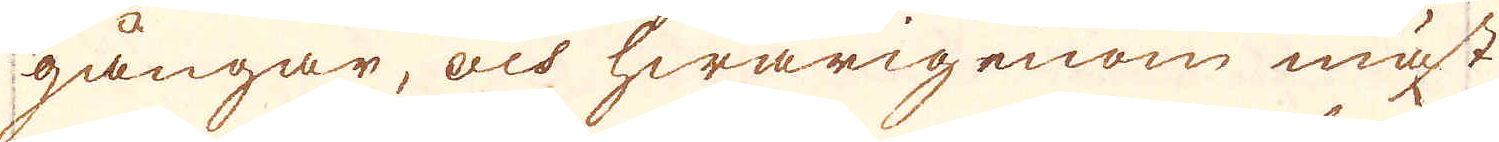gångar, och hwarigenom mäst
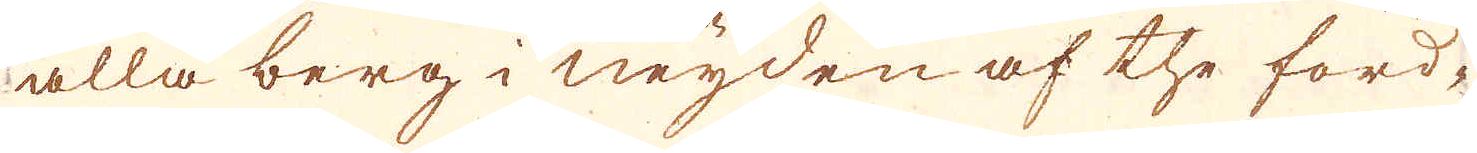alla berg i neyden af the ford-
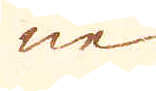ne
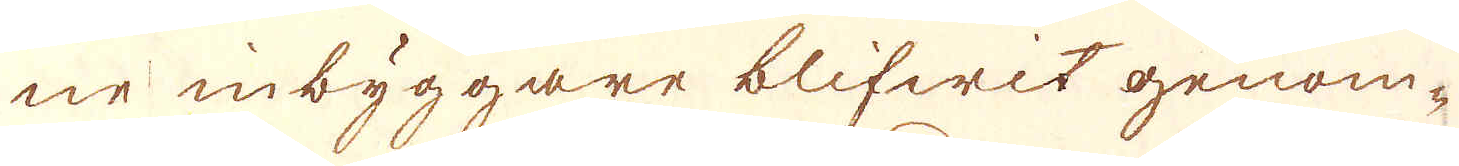ne inbyggare blifwit genom-
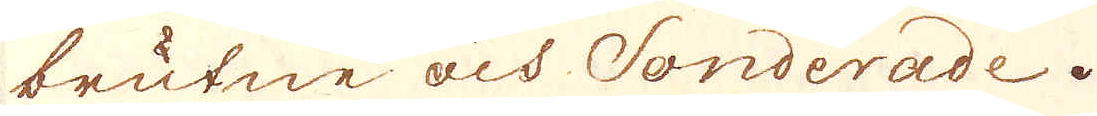brutne och Sonderade.
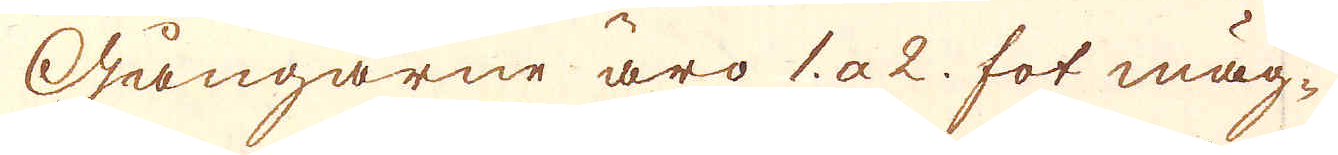Gångarne äro 1 a 2 fot mäg-
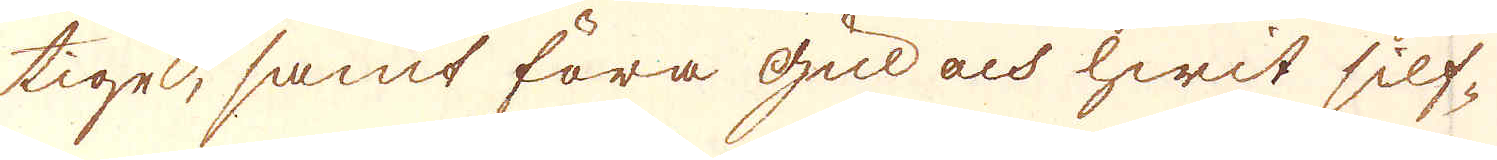tige, samt föra gul och hwit silf-
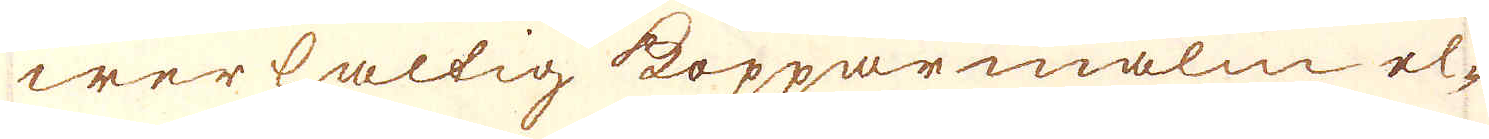werhaltig kopparmalm el-
